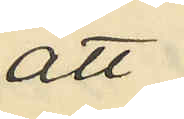att
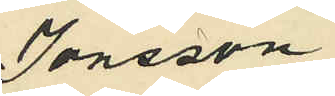Jonsson
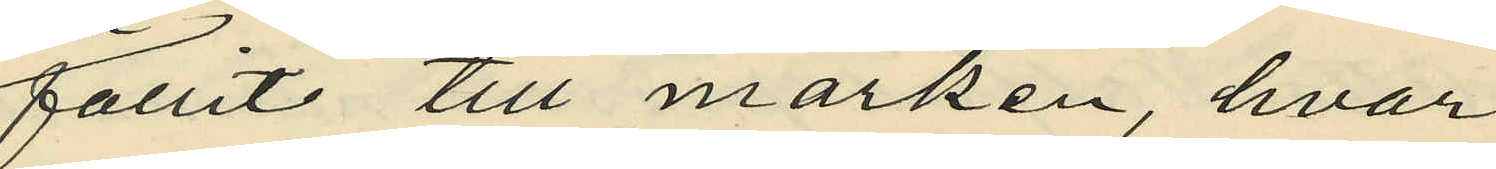fallit till marken, hvar¬
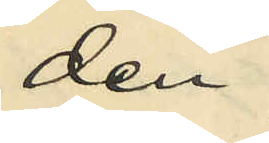den
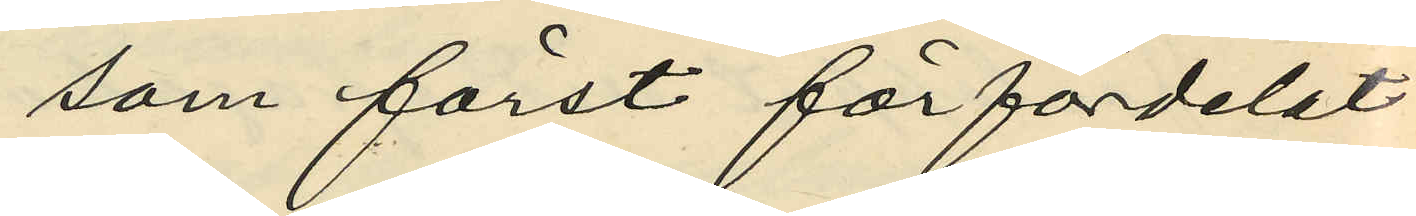som först förfördelat
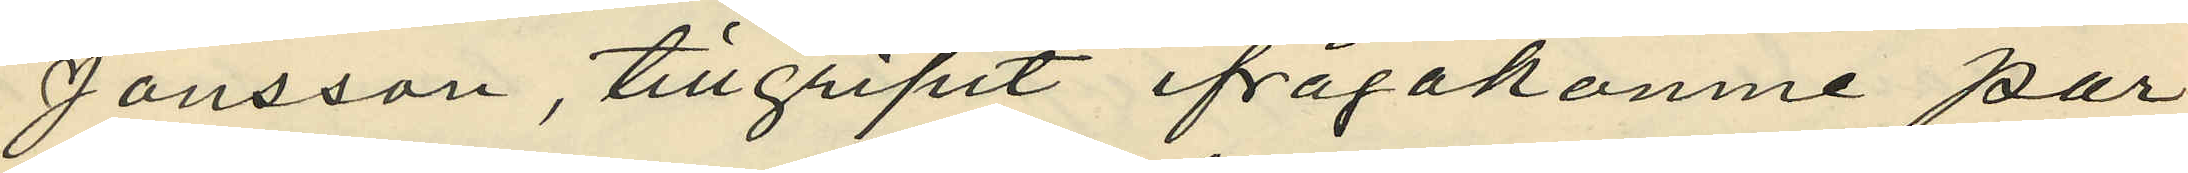Jonsson, tillgripit ifrågakomne par
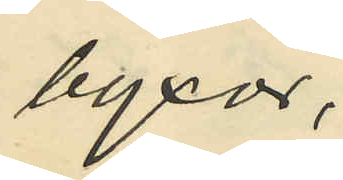byxor,
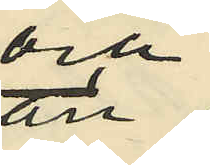och
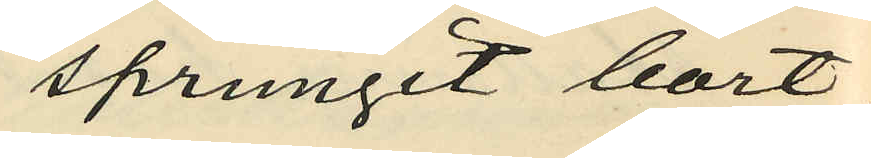sprungit bort
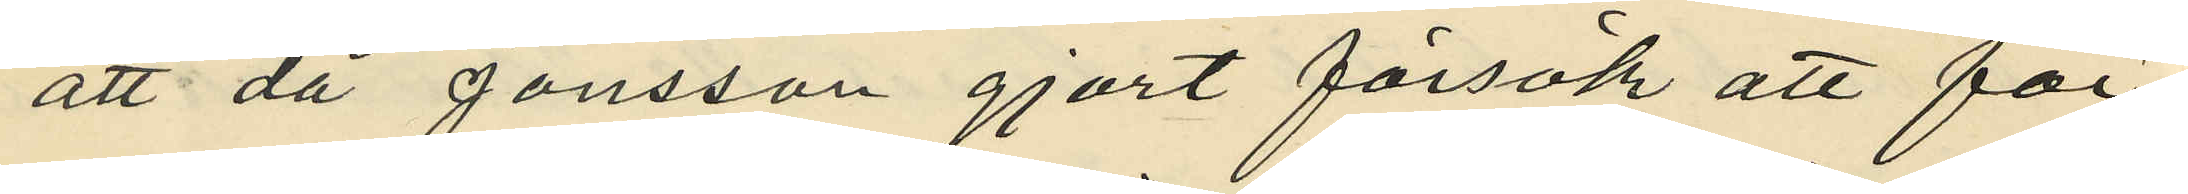att då Jonsson gjort försök att för¬
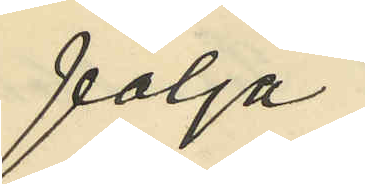följa
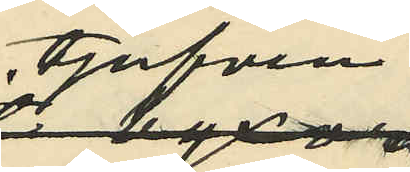tjufven
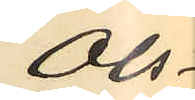Ols¬
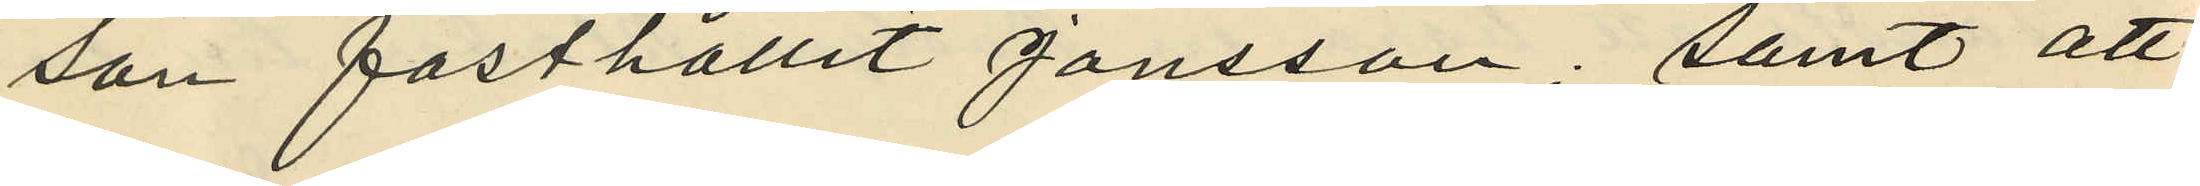son fasthållit Jonsson; samt att
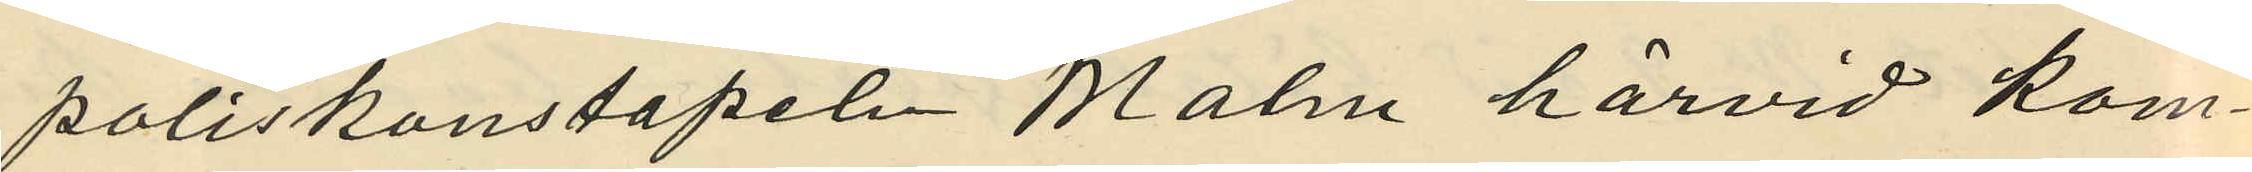poliskonstapeln Malm härvid kom¬
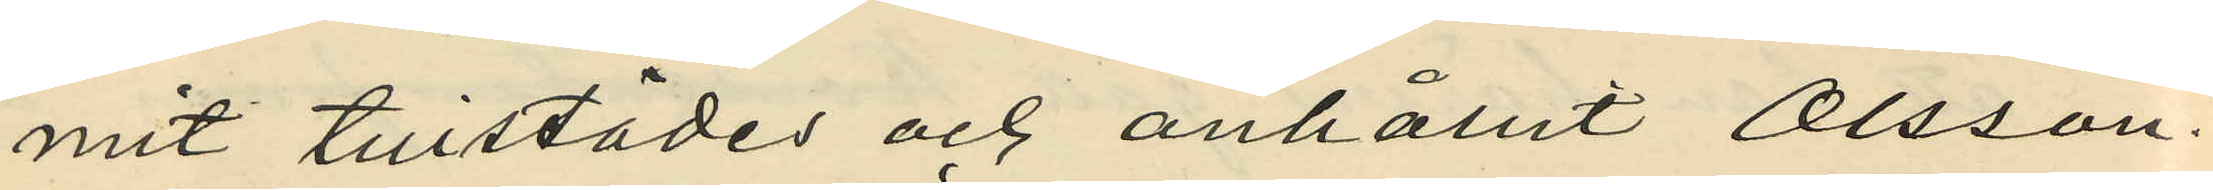mit tillstädes och anhållit Olsson.
